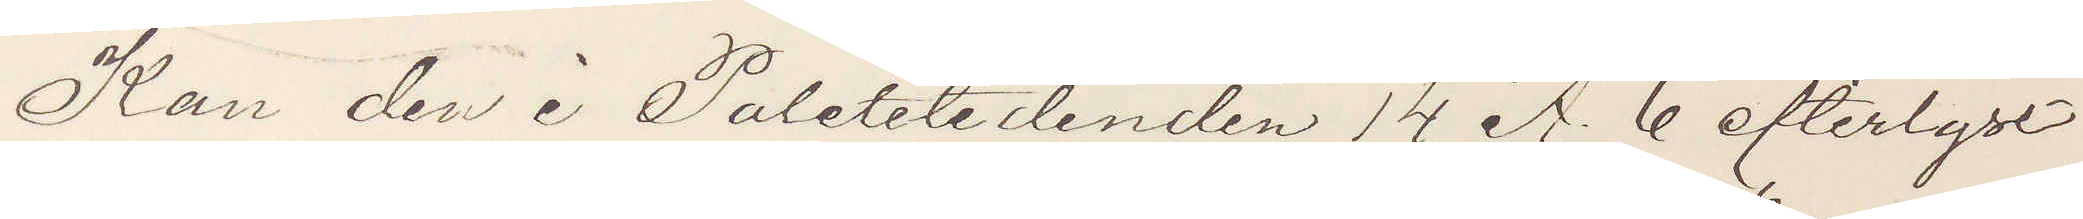Kan den i Poletitidenden 14 A. 6 efterlyst
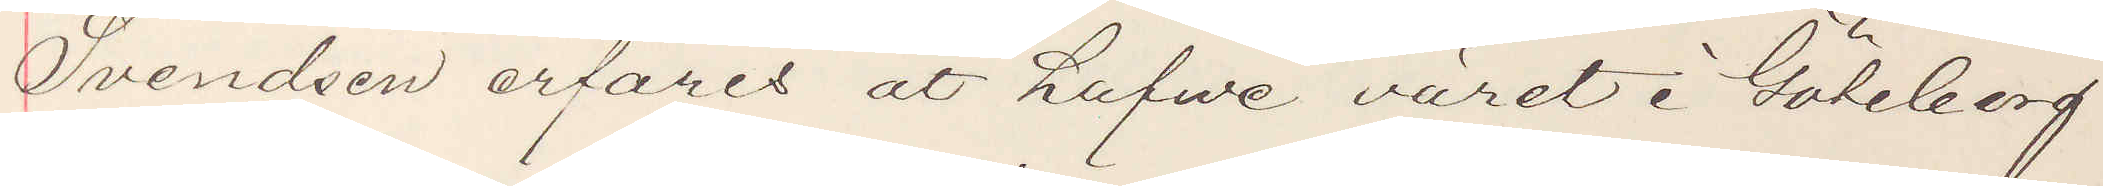Svendsen erfares at hafve varit i Göteborg
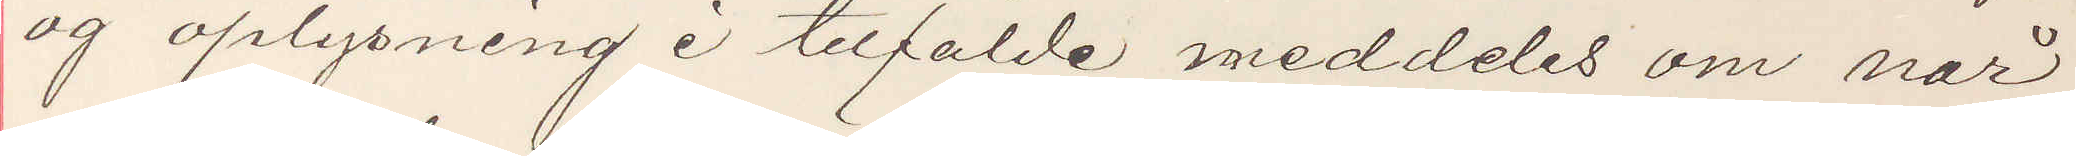og oplysning i tilfälde meddeles om när
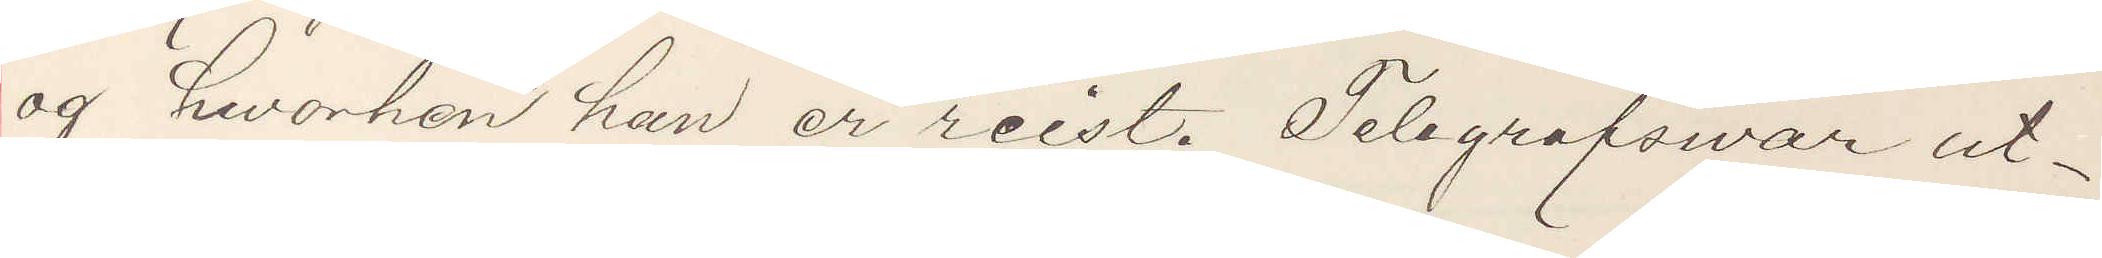og, hworhen han er reist. Telegrafsvar ut¬
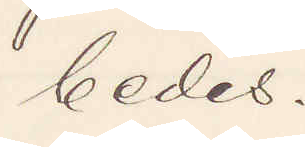bedes.
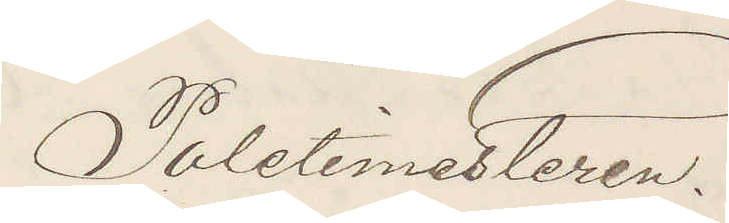Poletimesteren.
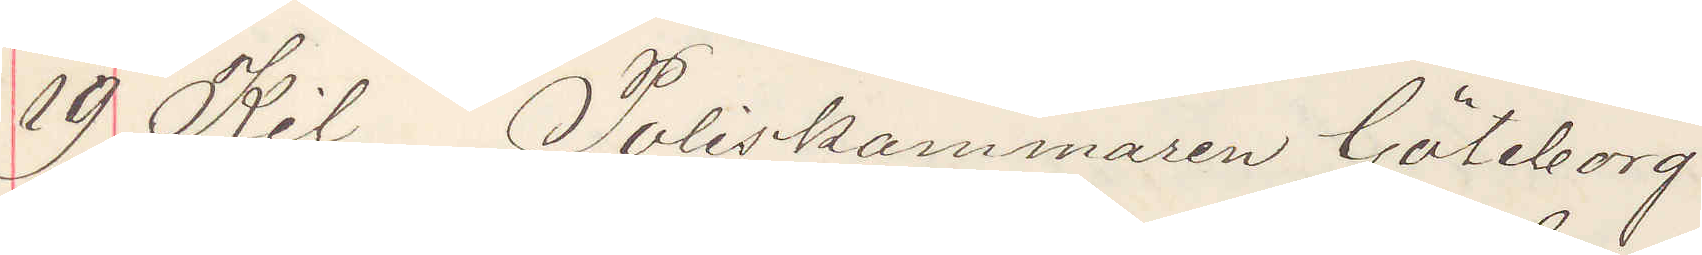19 Kil Poliskammaren Göteborg
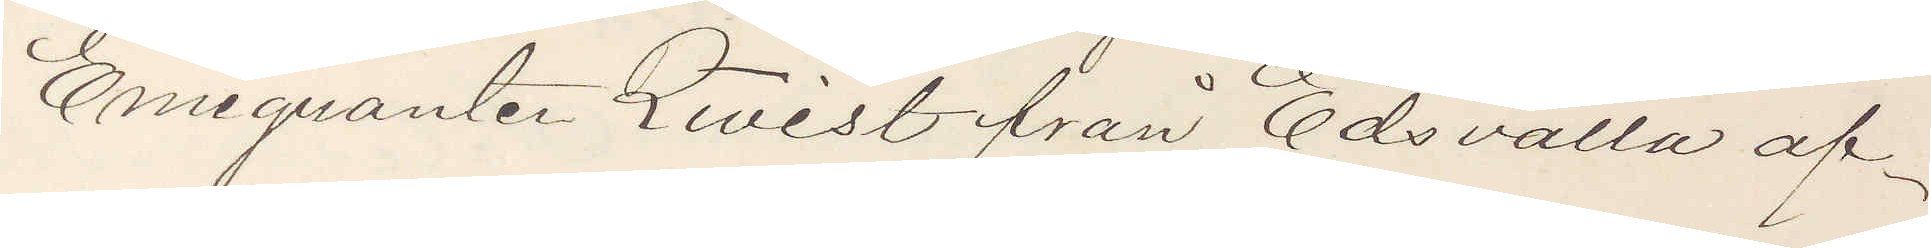Emigranten Qwist ifrån Edsvalla af¬
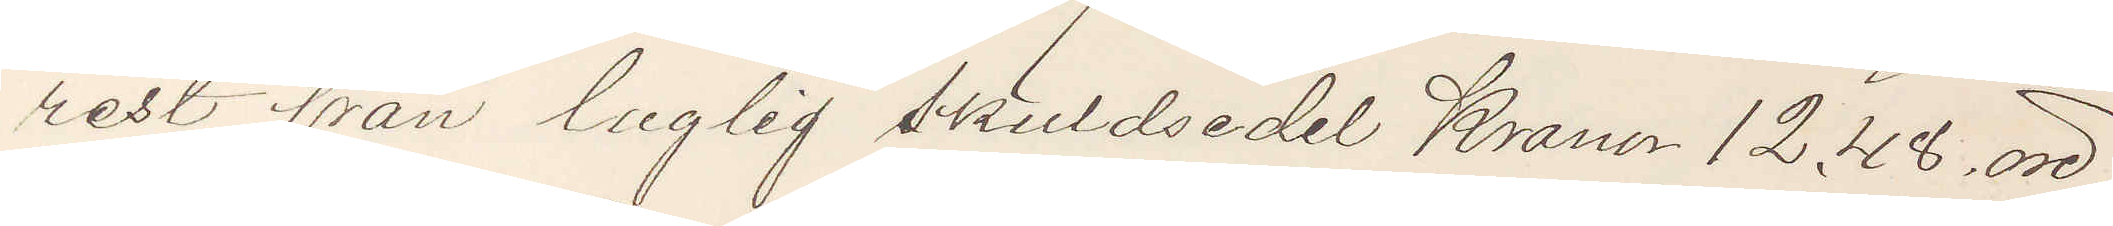rest från laglig skuldsedel Kronor 12.48, öre
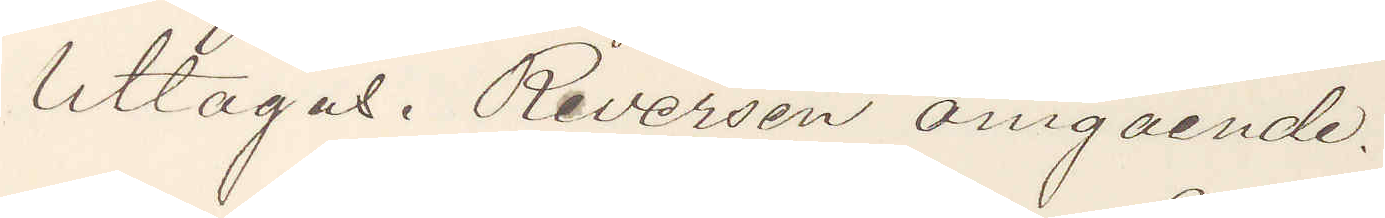Uttages. Reversen omgående.
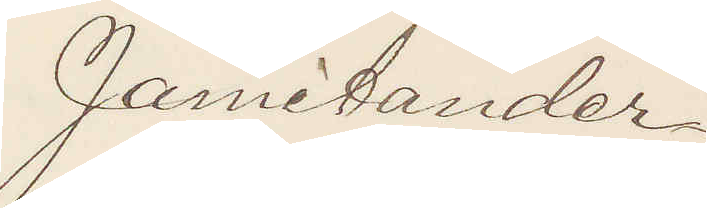Jamitander
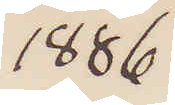1886
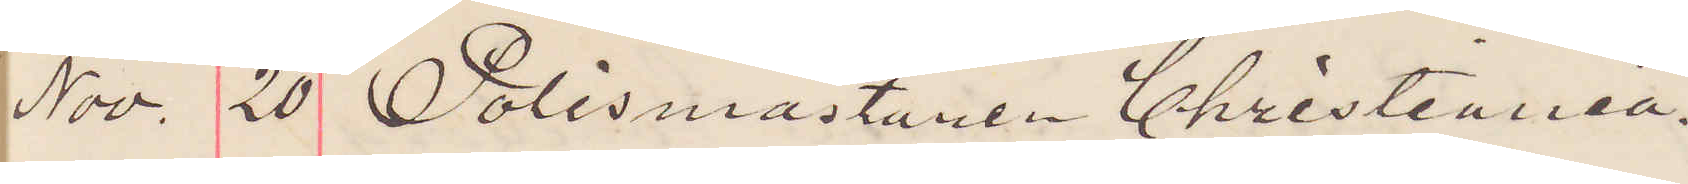Nov. 20 Polismästaren Christiania.
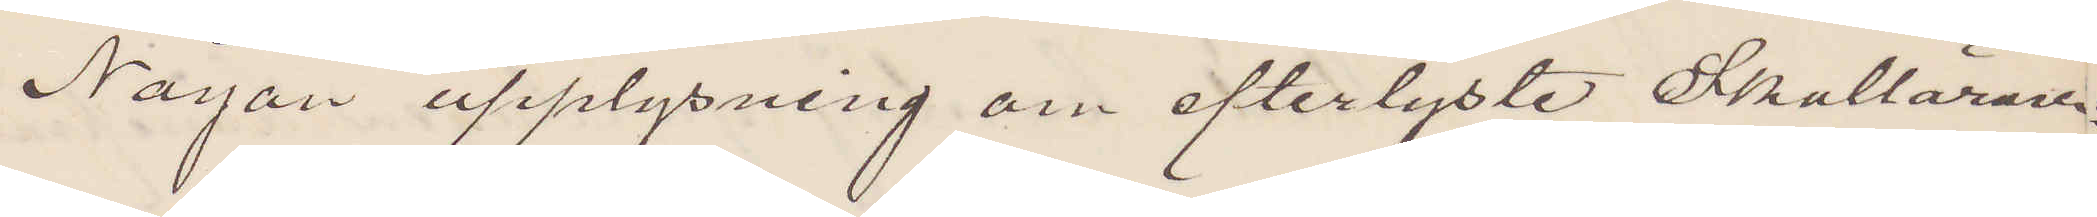Någon upplysning om efterlyste Skollärare
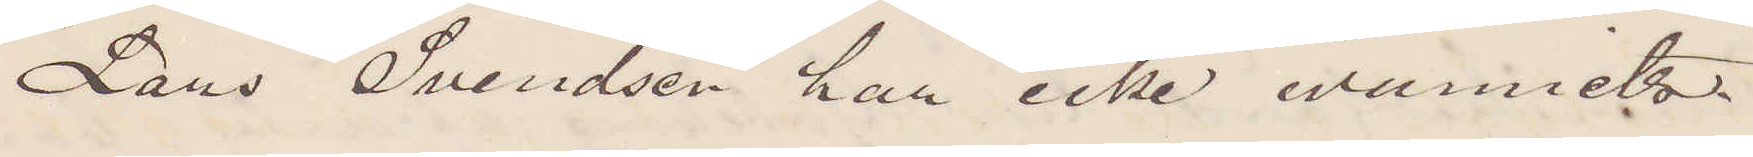Lars Svendsen har icke wunnits.
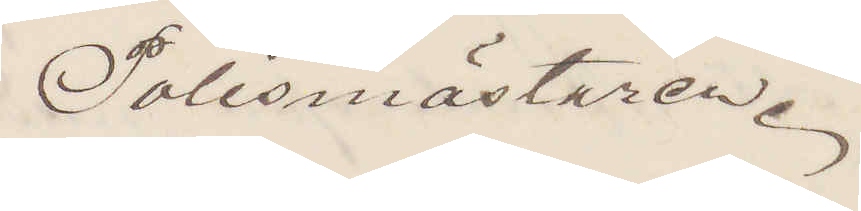Polismästaren.
